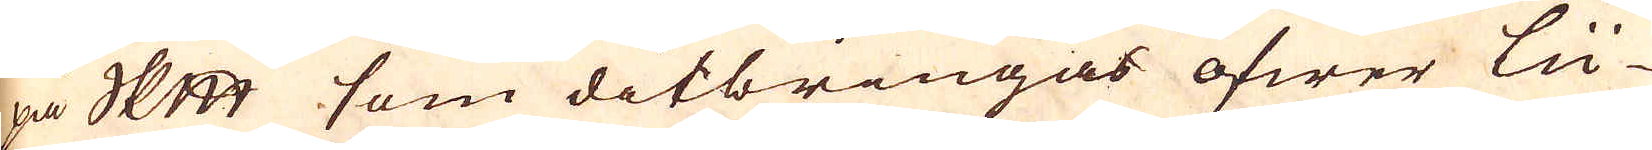på skeppundet som ditbringas öfwer Lü-
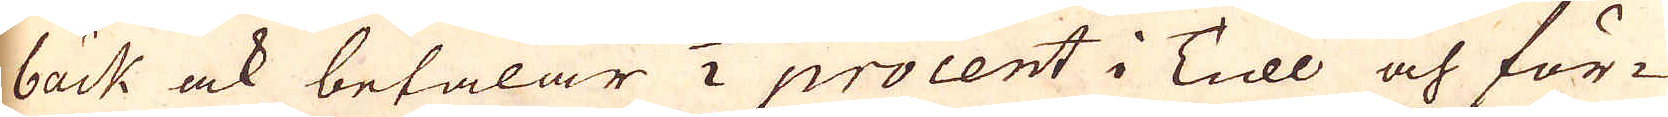bäck ock betalar 1/2 procent i Tull och för-
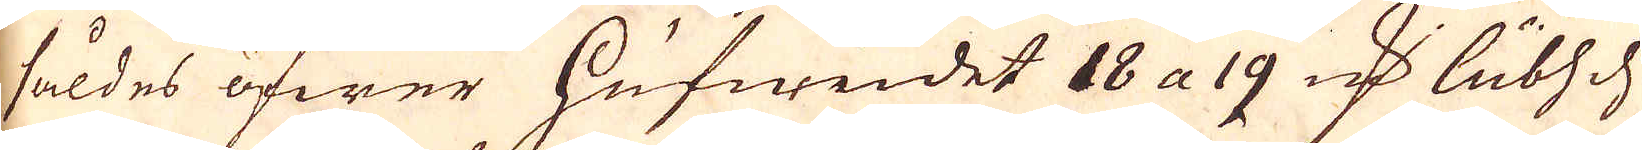såldes öfwer hufwudet 18 a 19 marker Lübsch
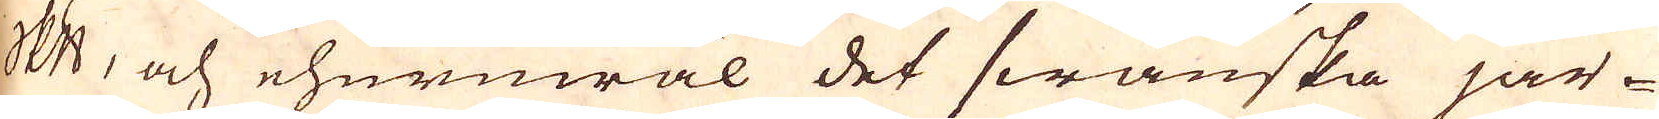skeppund, och ehuruwäl det swanska jär-
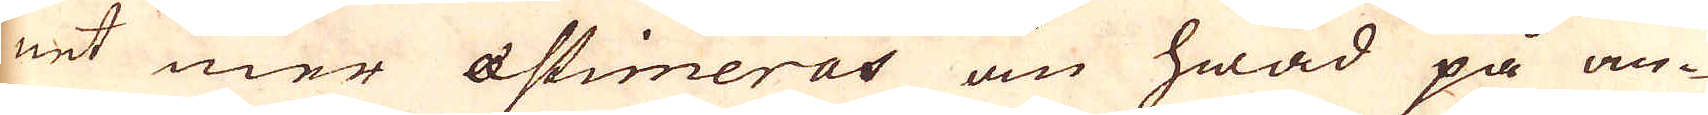net mer aestimeras än hwad på an-
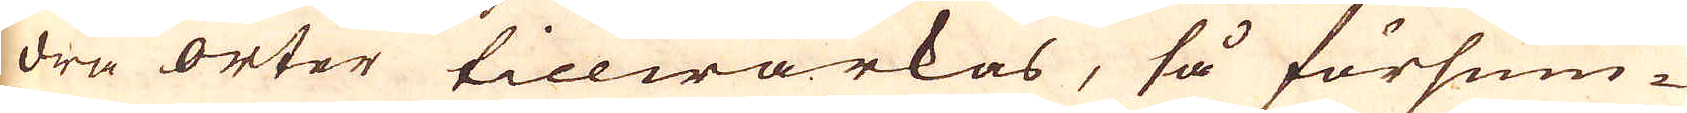dra orter tillwärkas, så försum-
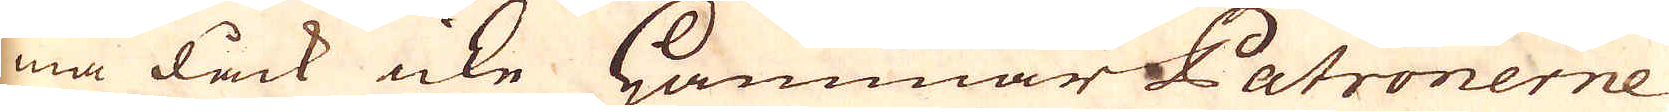ma dåck icke Hammar Patronerne
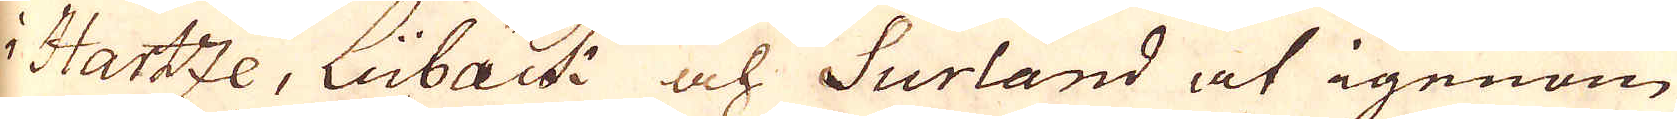i Hartze, Lübäck och Surland at igenom
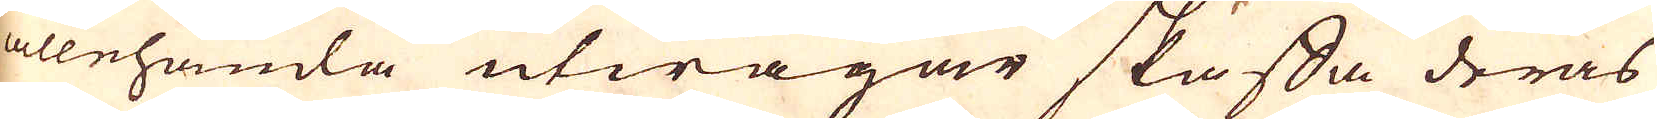allehanda utwägar skaffa deras
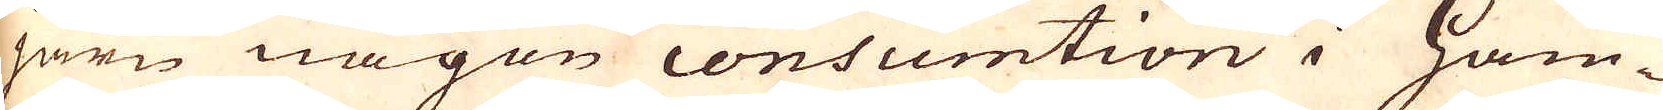järn någon consumtion i Ham-
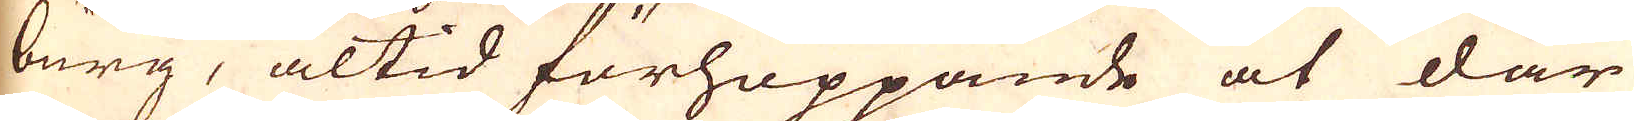burg, altid förhoppande at där
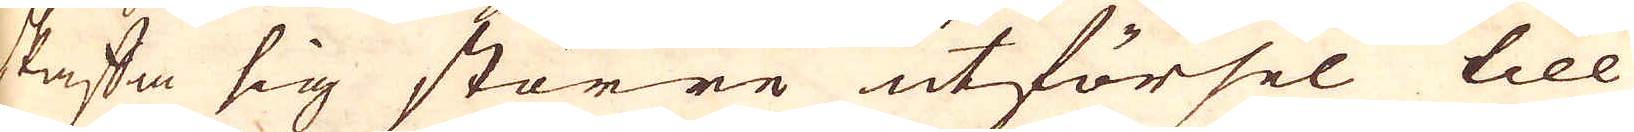skaffa sig större utförsel till
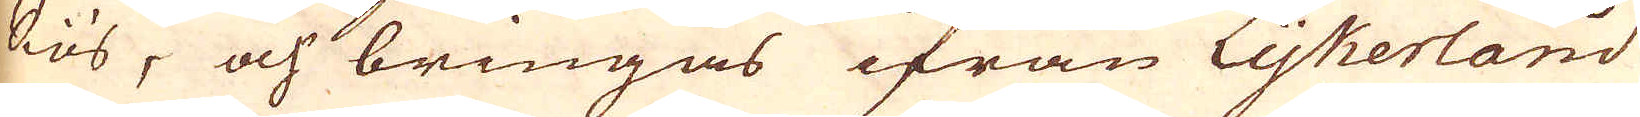siös, och bringas ifrån Lijkerland
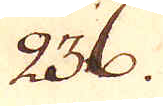236.
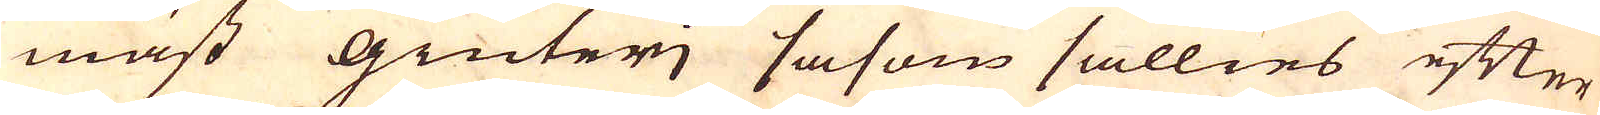mäst Giuterj såsom sällies efter
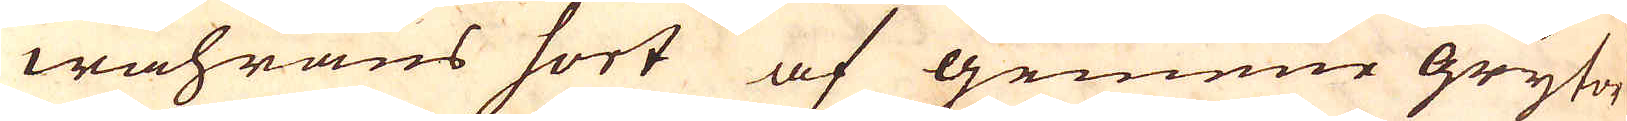wahrans sort af gemene grytor
